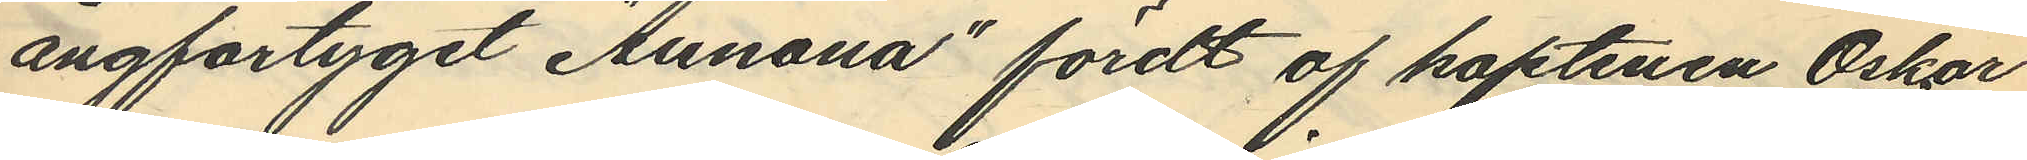ångfartyget "Aunona" fördt af kaptenen Oskar
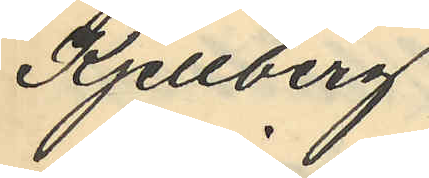Kjellberg
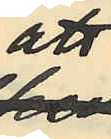att
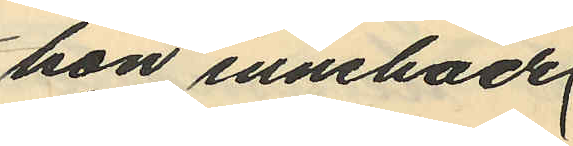hon innehade
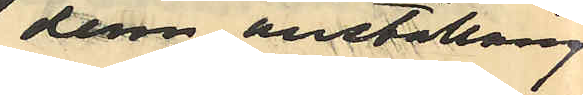denna anställning
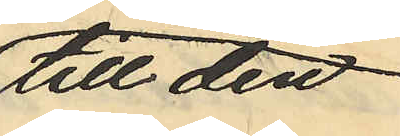till den
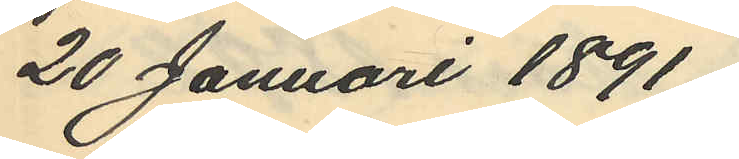20 Januari 1891
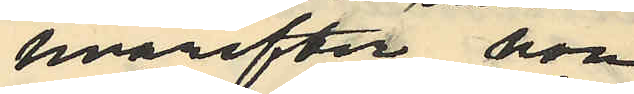hvarefter hon
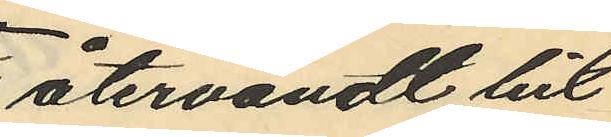återvändt hit
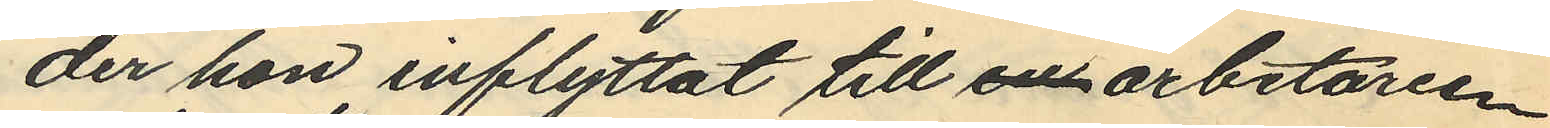der hon inflyttat till en arbetaren
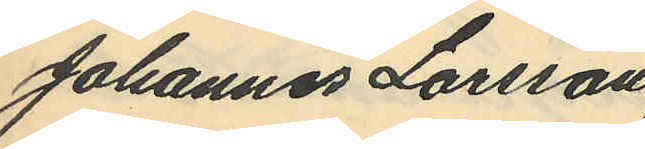Johannes Larsson
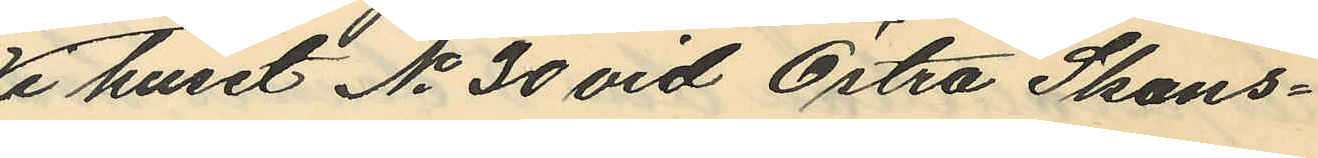i huset No 30 vid Östra Skans¬
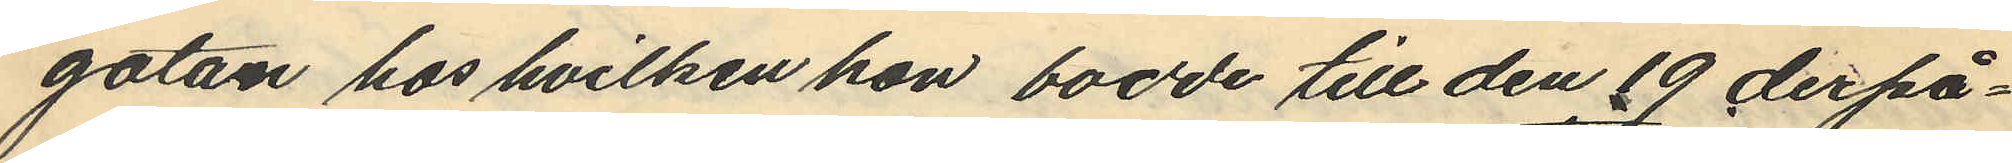gatan hos hvilken hon bodde till den 19 derpå¬
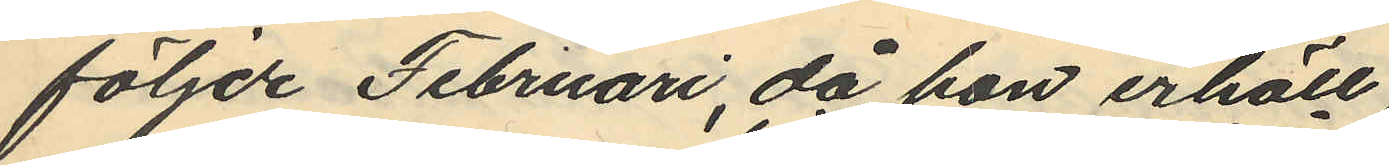följde Februari, då hon erhöll
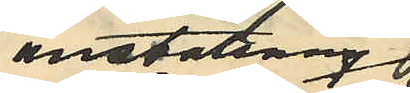anställning
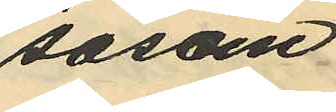såsom
